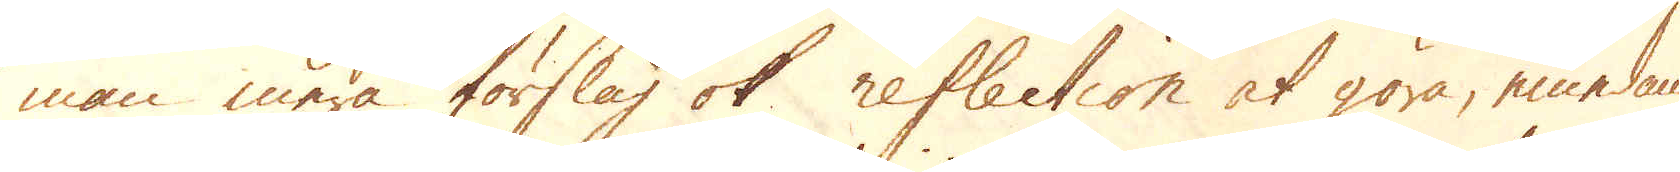man mera förslag ok reflection at göra, emedan
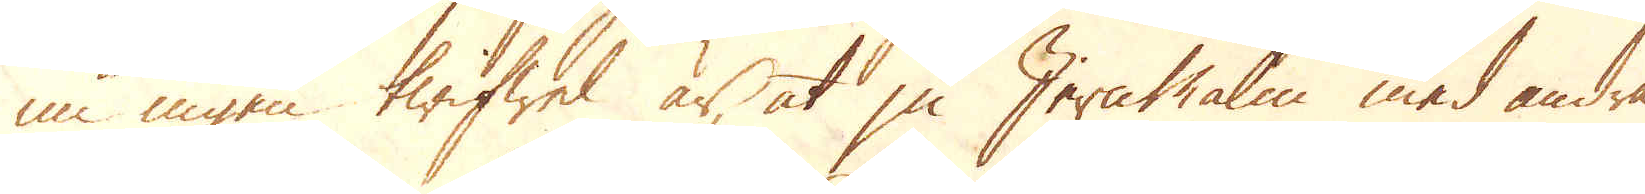nu ingen twifwel är, at ju Jern Malm med andra
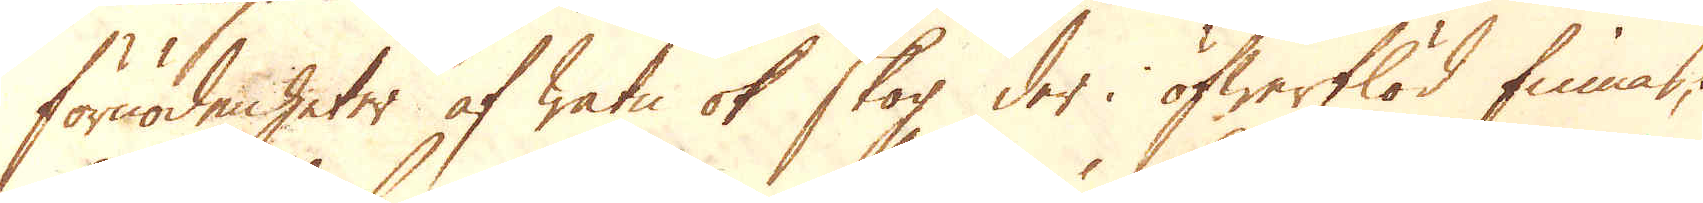förnödenheter af watn ok skog der i öfwerflöd finnas;
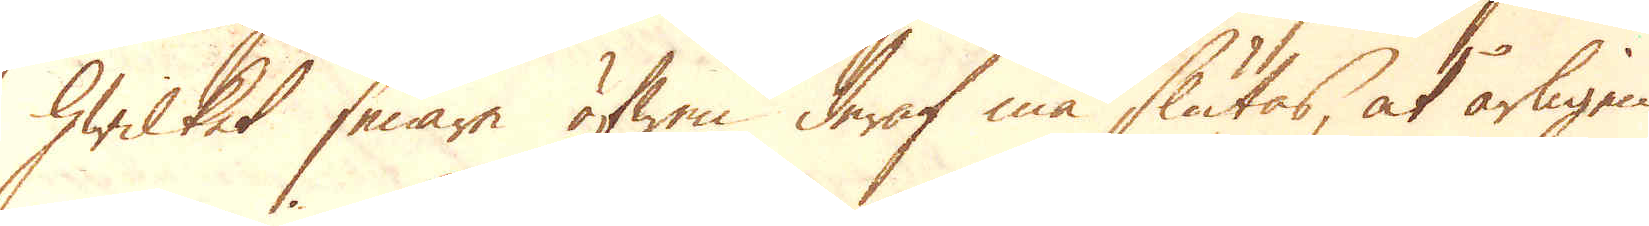hwilket senare äfwen deraf må slutas, at årligen
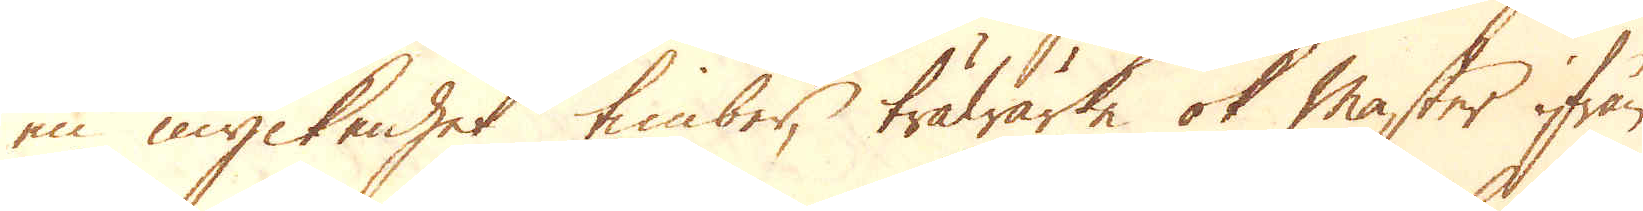en myckenhet timber, träwärke ok master ifrån
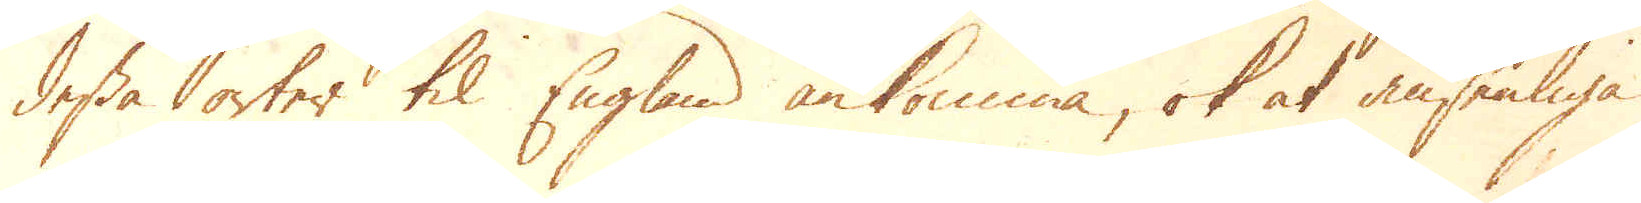dessa orter til England ankomma, ok at ansenliga
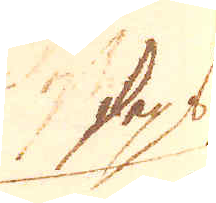skeps
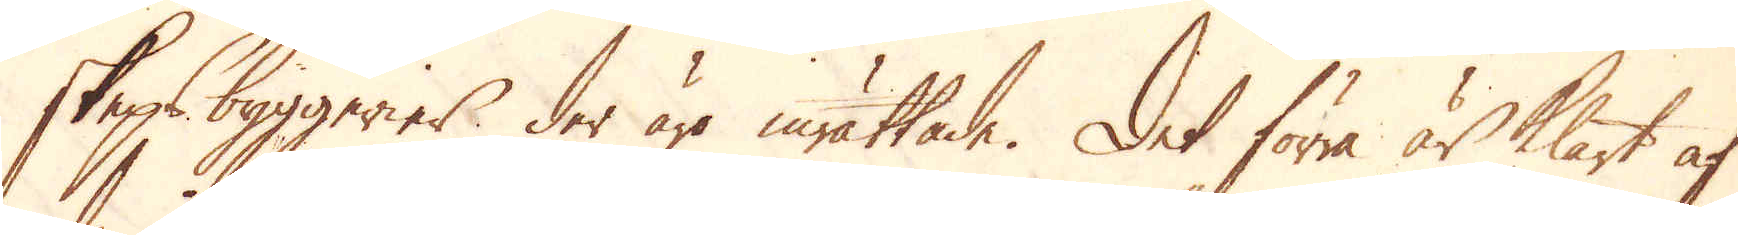skepsbyggerier der äro inrättade. Det förra är klart af
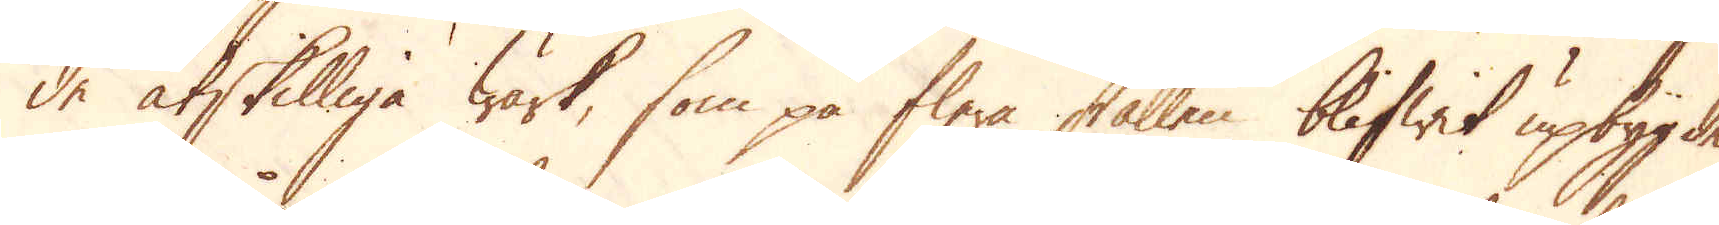de åtskilliga Wärk, som på flera ställen blifwit upbygde
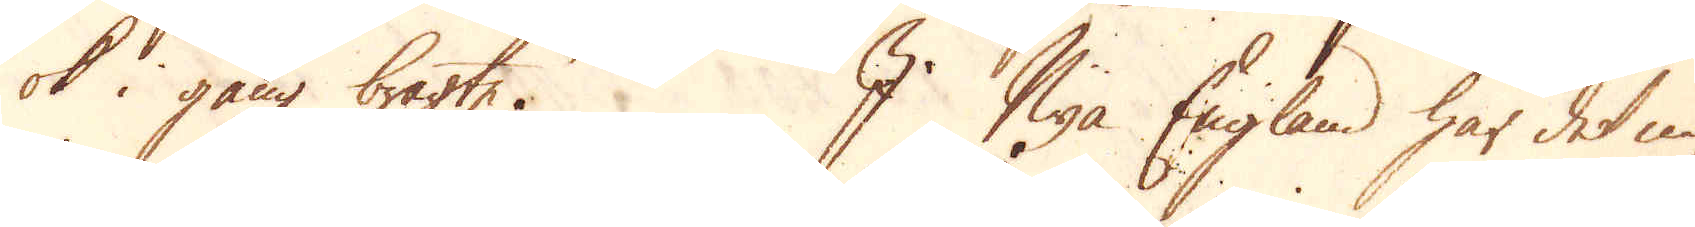ok i gång bragte. I Nya England har det nu
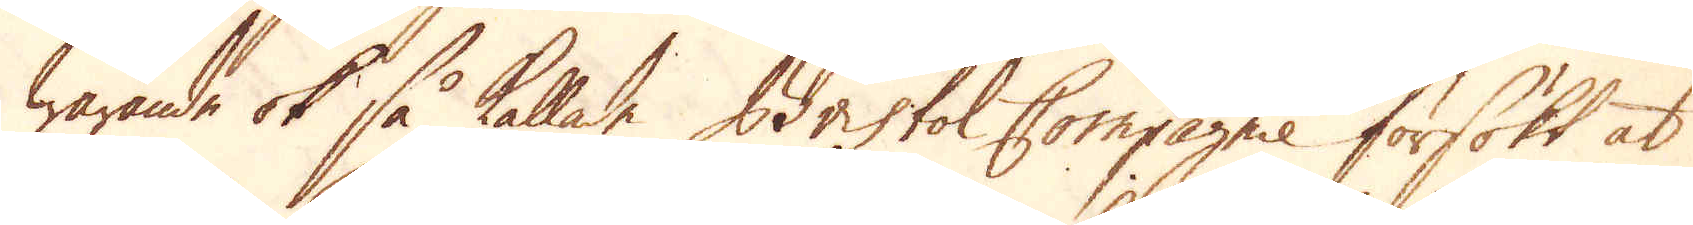warande ok så kallade Bristol Compagnie försökt at
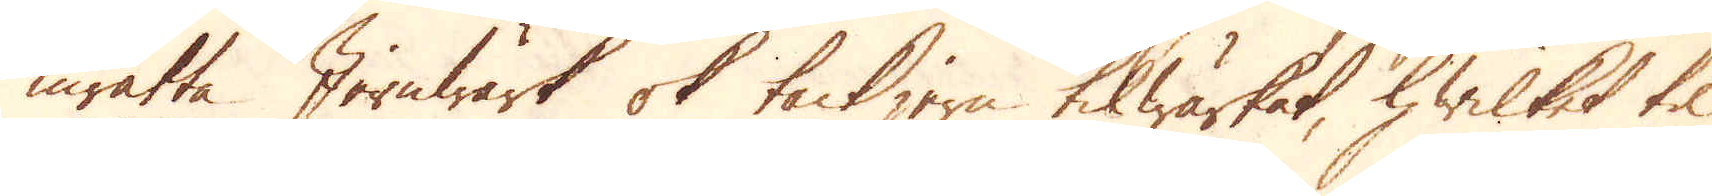inrätta Jernwärk ok tackjern tilwärkat, hwilket til
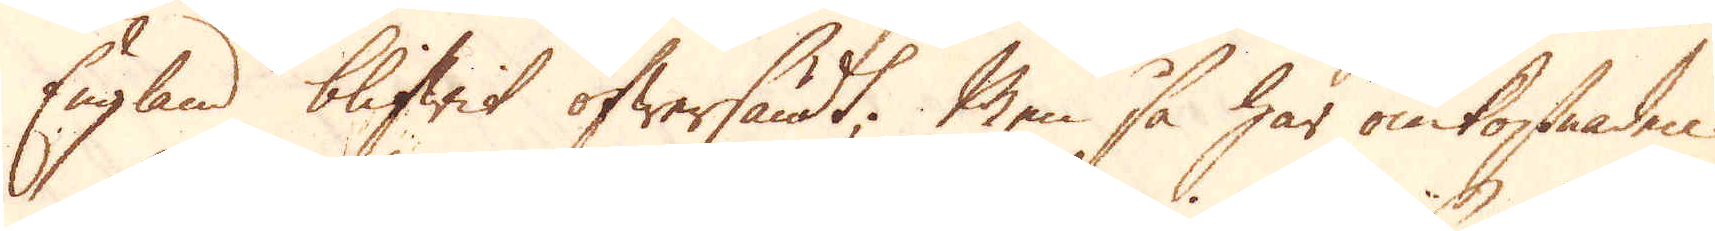England blifwit öfwersändt. Men så har omkostaden
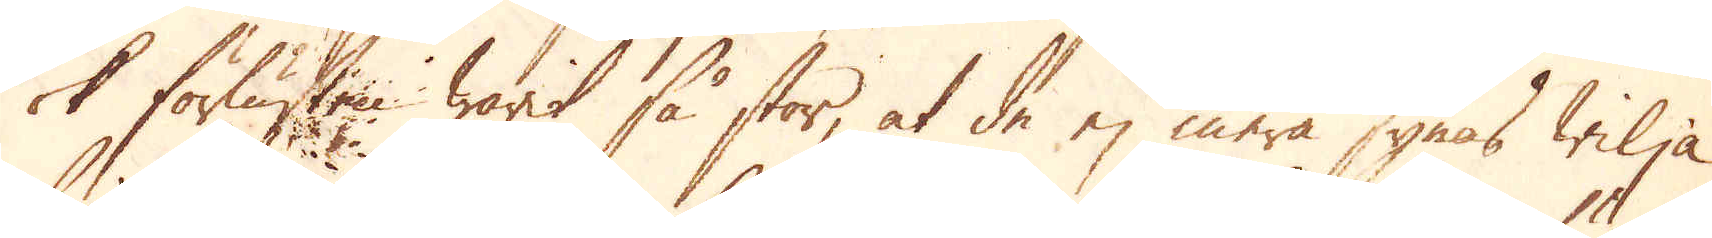ok förlusten warit så stor, at de ej mera synas wilja
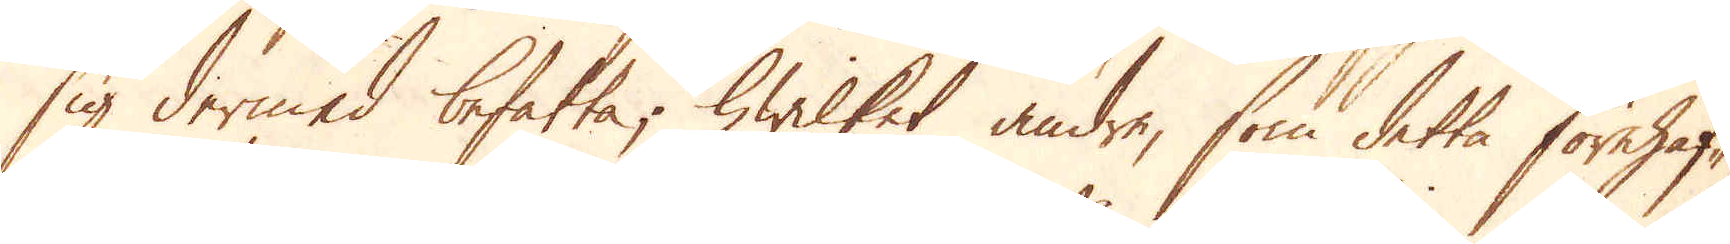sig dermed befatta; hwilket andre, som detta förehaf-
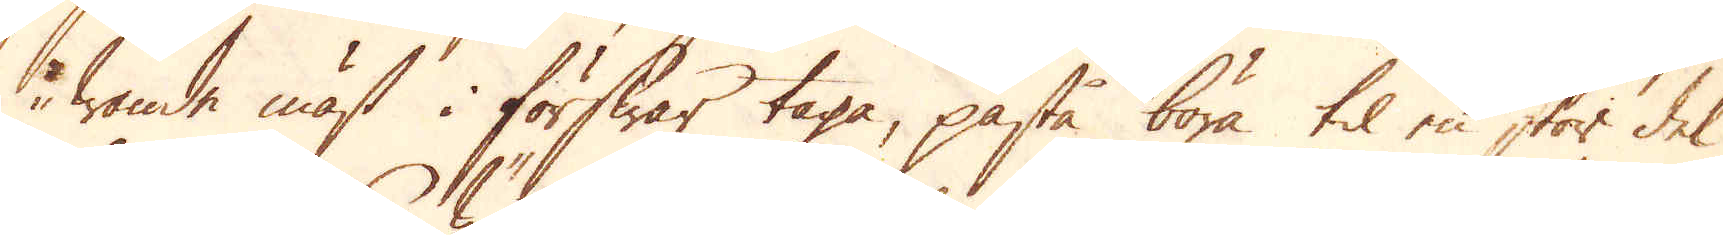wande mäst i förswar taga, påstå böra til en stor del
